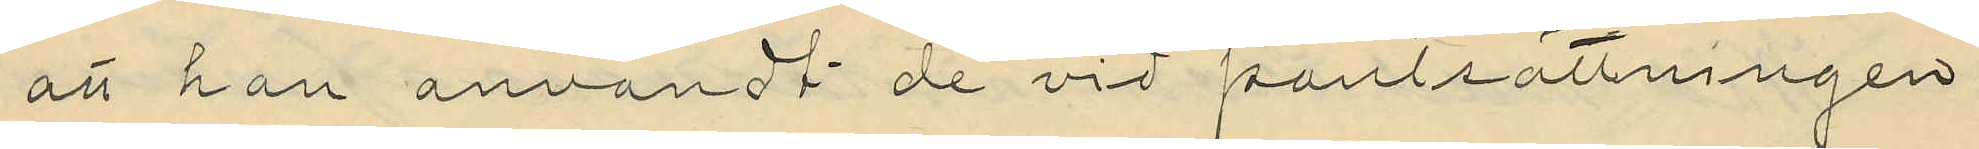att han användt de vid pantsättningen
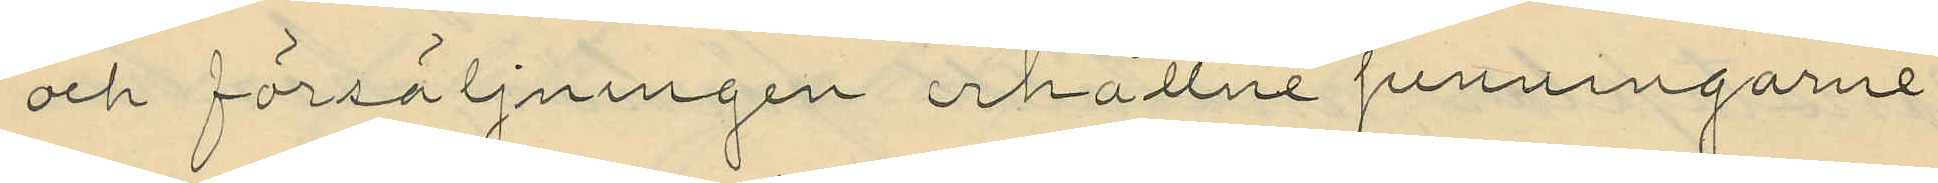och försäljningen erhållne penningarne
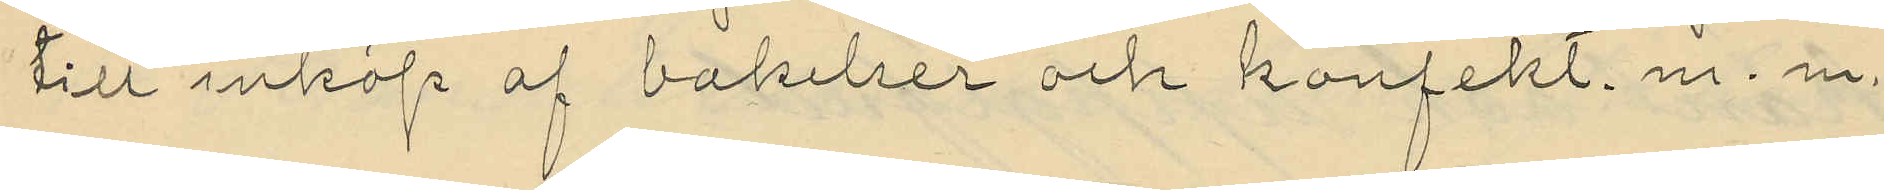till inköp af bakelser och konfekt. m. m.
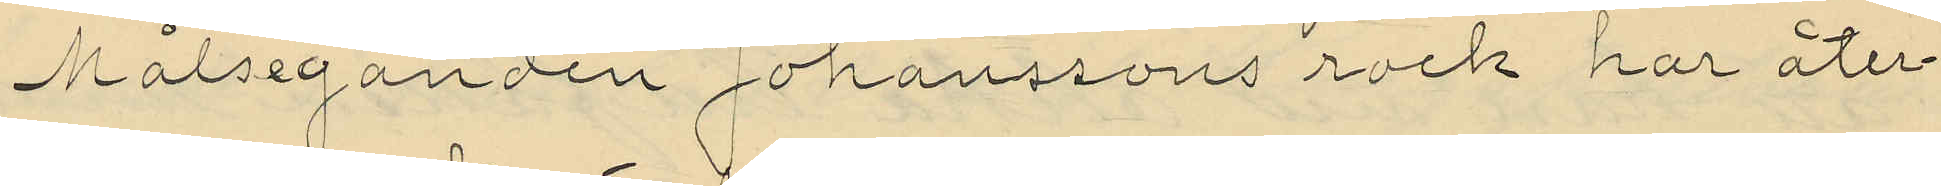Målseganden Johanssons rock har åter¬
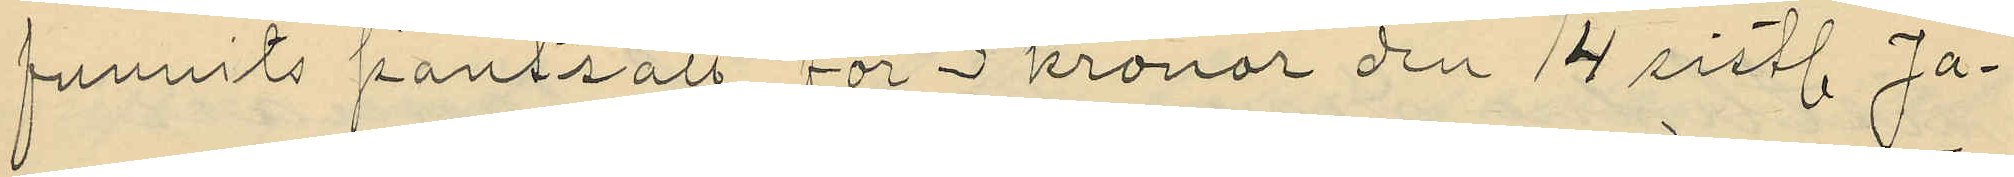funnits pantsatt för 3 kronor den 14 sistl. Ja¬
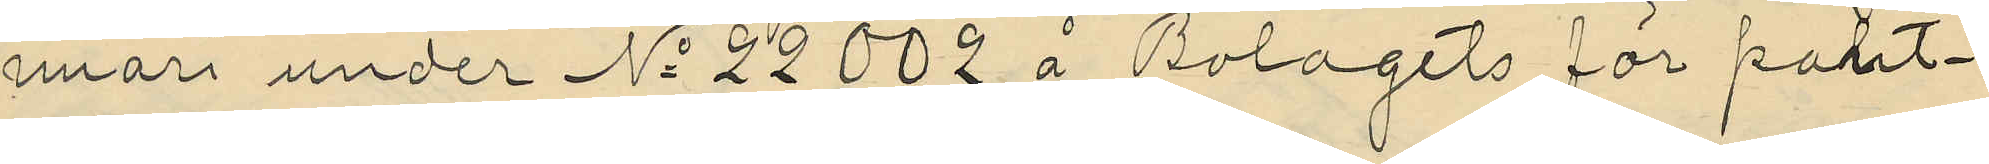nuari under No 22002 å Bolagets för pant¬
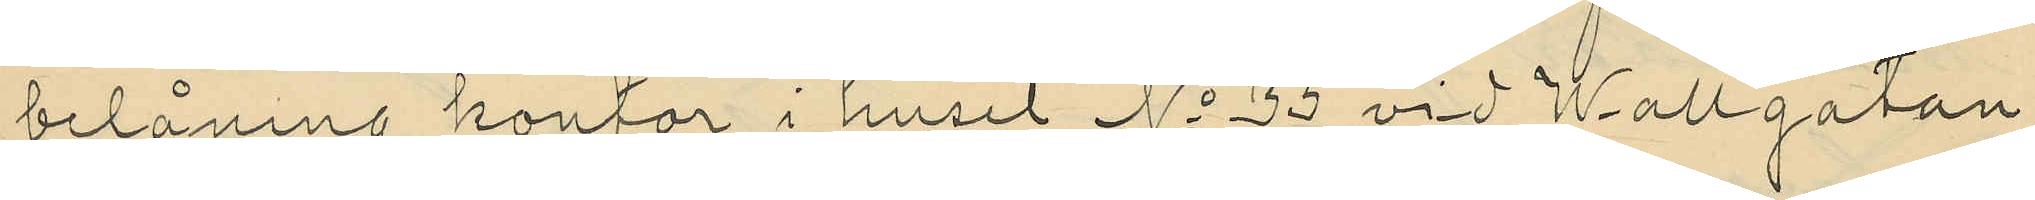belåning kontor i huset No 35 vid Wallgatan
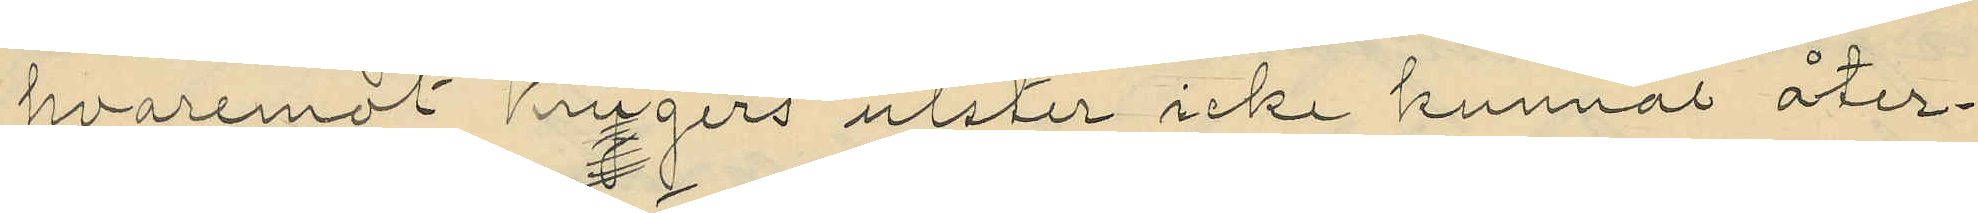hvaremot Krugers ulster icke kunnat åter¬
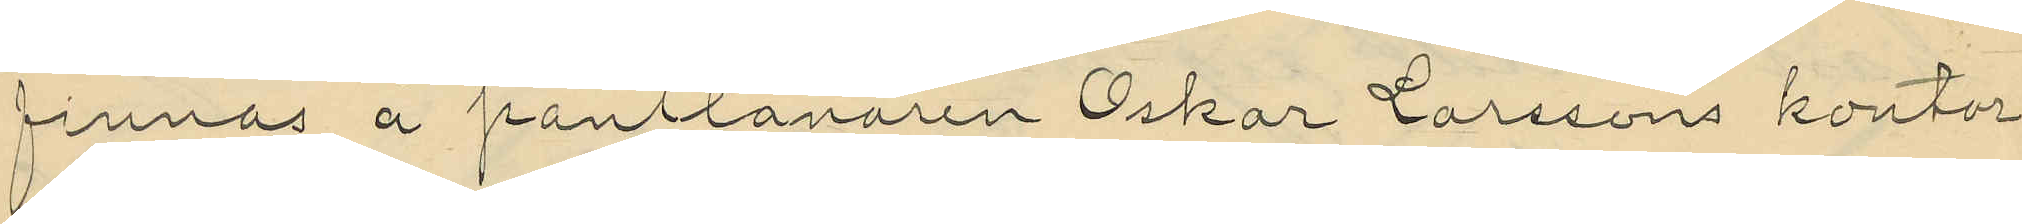finnas å pantlånaren Oskar Larssons kontor
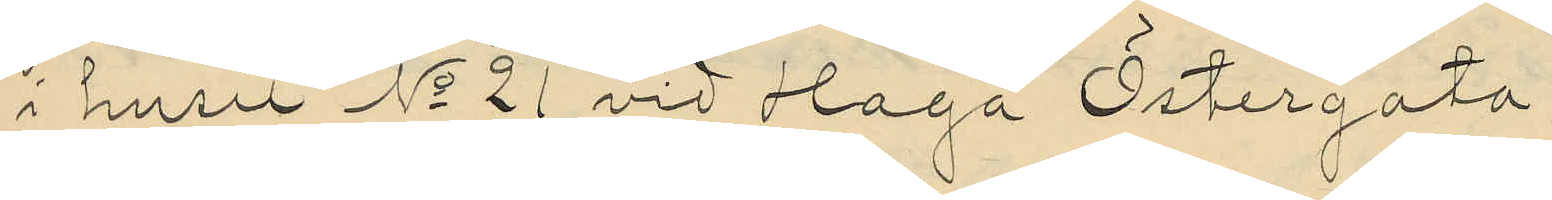i huset No 21 vid Haga Östergata.
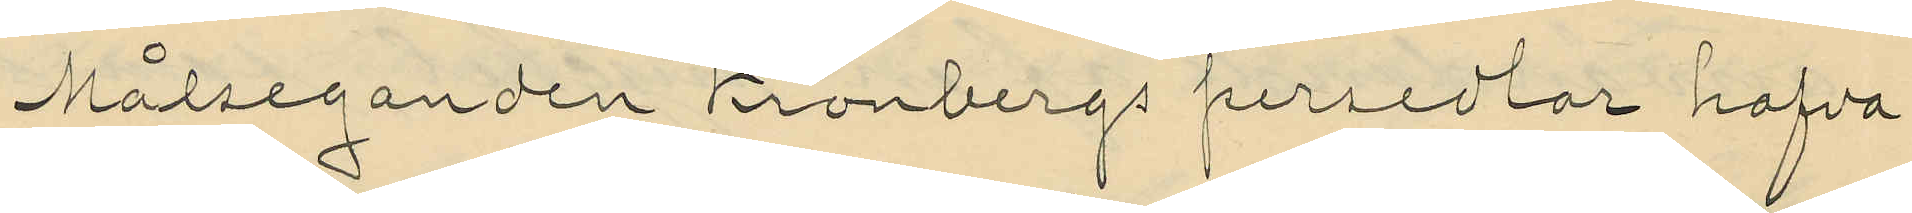Målseganden Kronbergs persedlar hafva
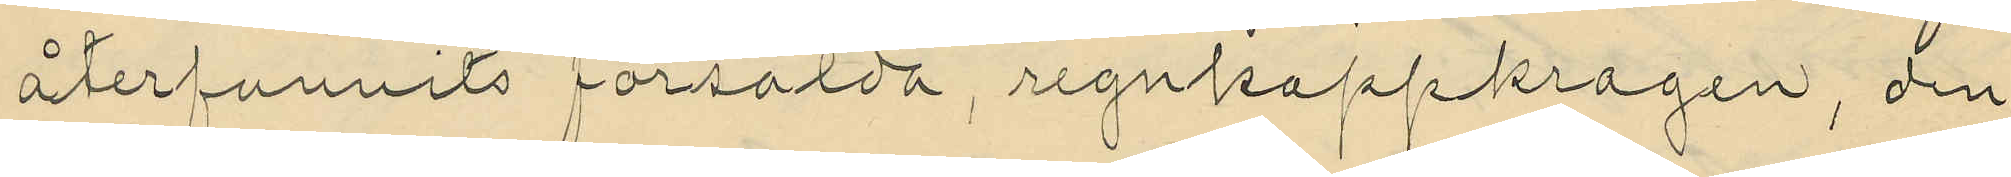återfunnits försålda, regnkappkragen, den
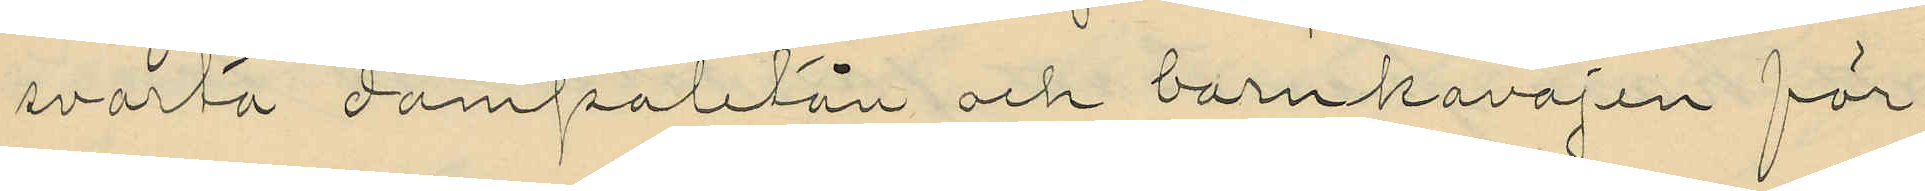svarta dampaletån och barnkavajen för
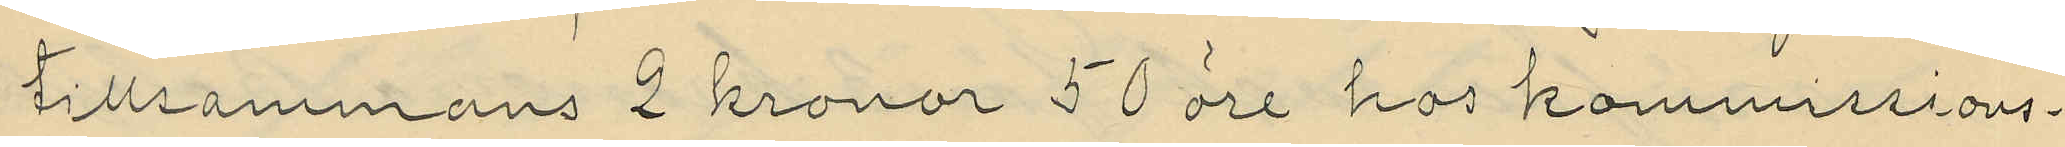tillsammans 2 kronor 50 öre hos kommissions¬
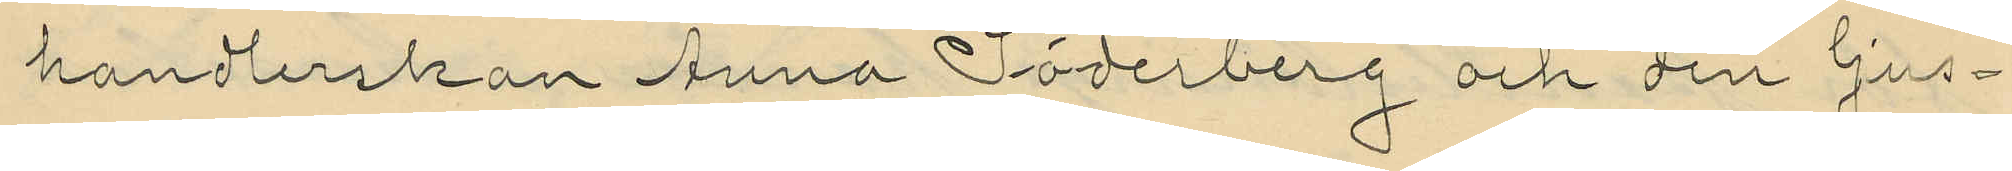handlerskan Anna Söderberg och den ljus¬
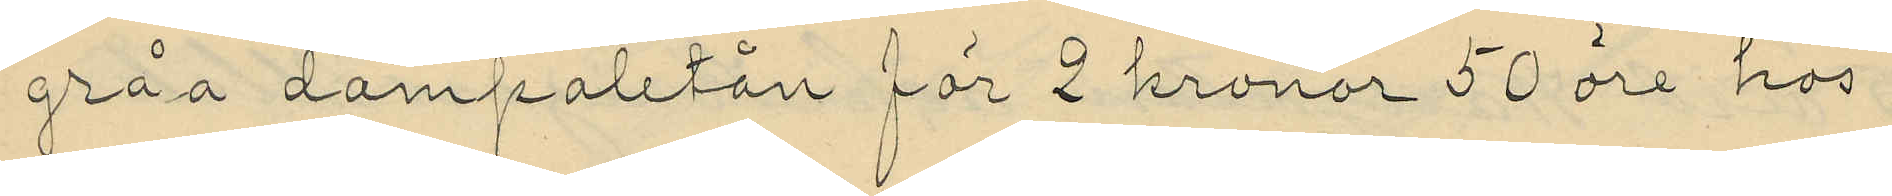gråa dampaletån för 2 kronor 50 öre hos
